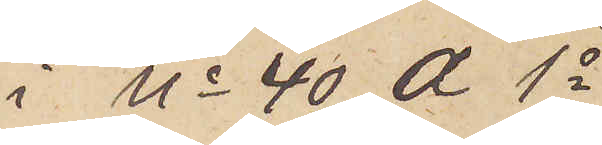i No 40 A 1o
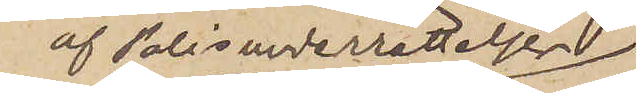af Polisunderrättelser
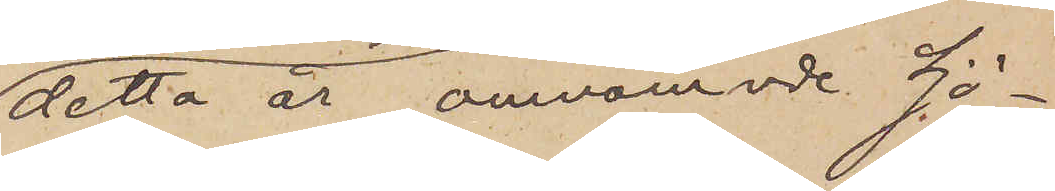detta år omnämnde Sjö¬
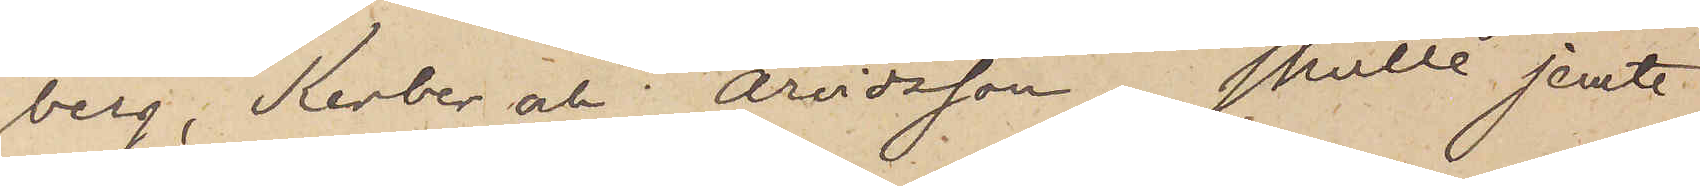berg, Kerber och Arvidsson, skulle jemte
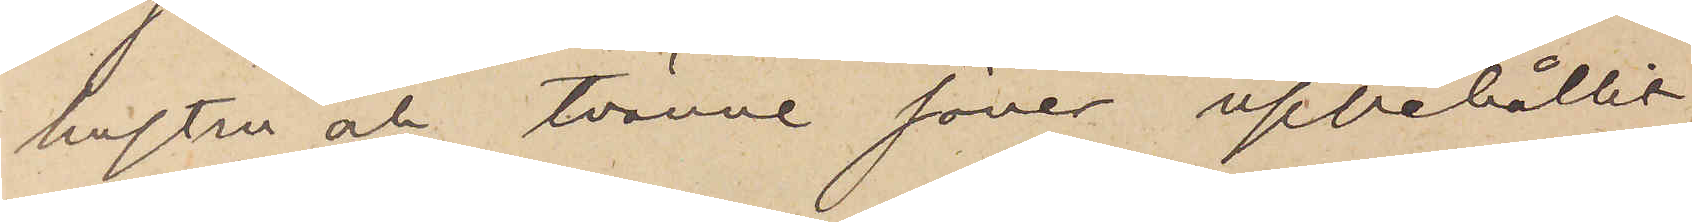hustru och tvänne söner uppehållit
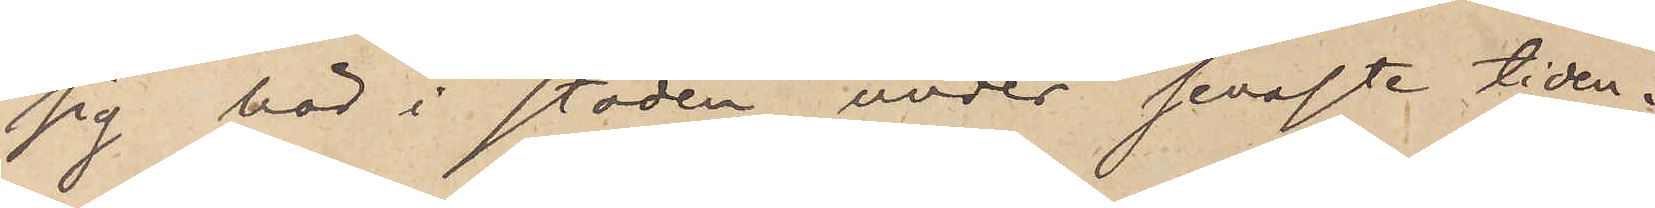sig här i staden under senaste tiden.
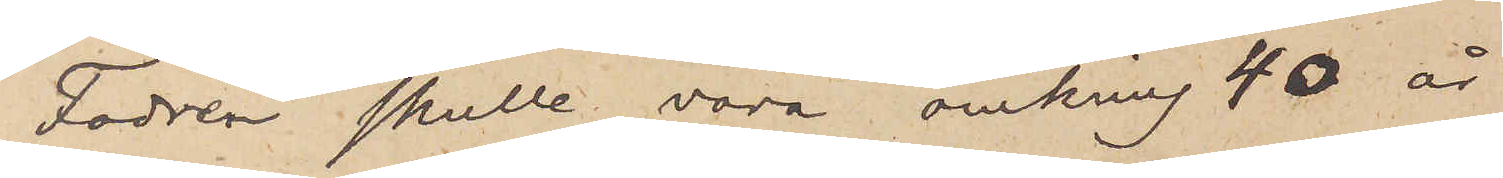Fadren skulle vara omkring 40 år
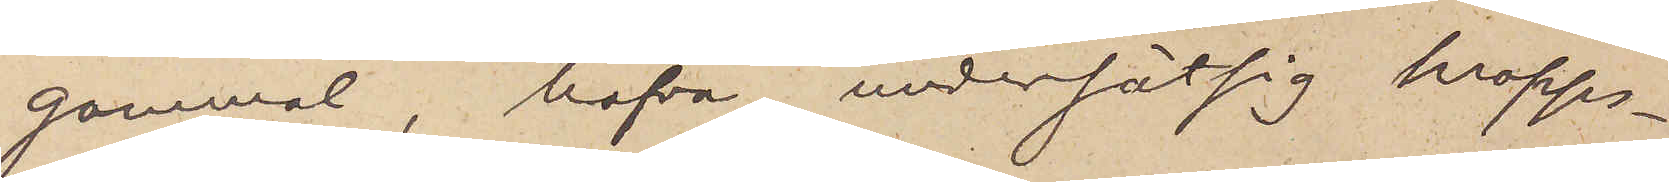gammal, hafva undersätsig kropps¬
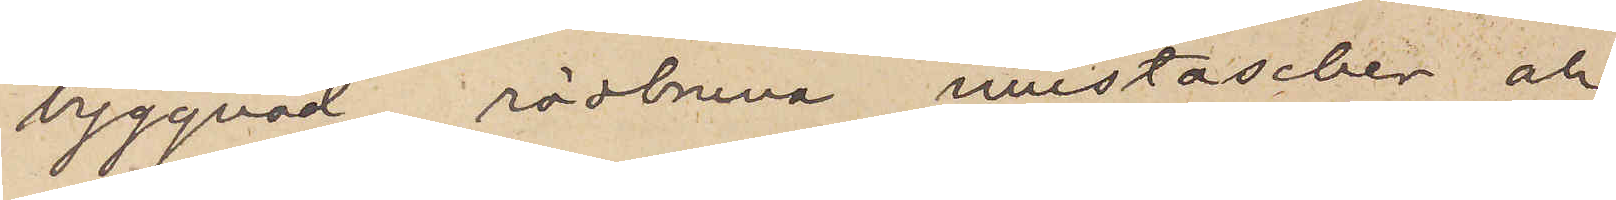byggnad, rödbruna mustascher och
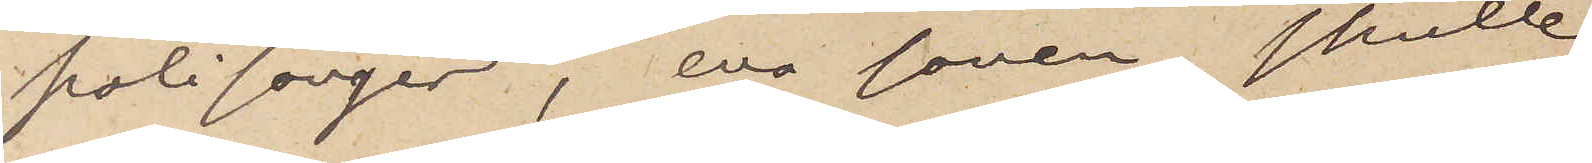polisonger, ena sonen skulle
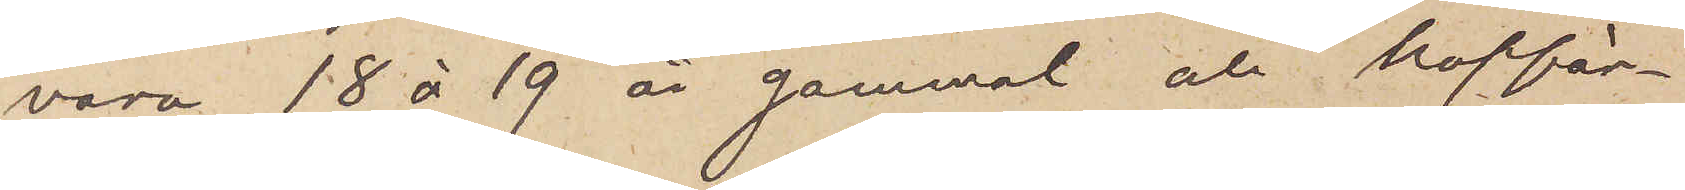vara 18 à 19 år gammal och koppär¬
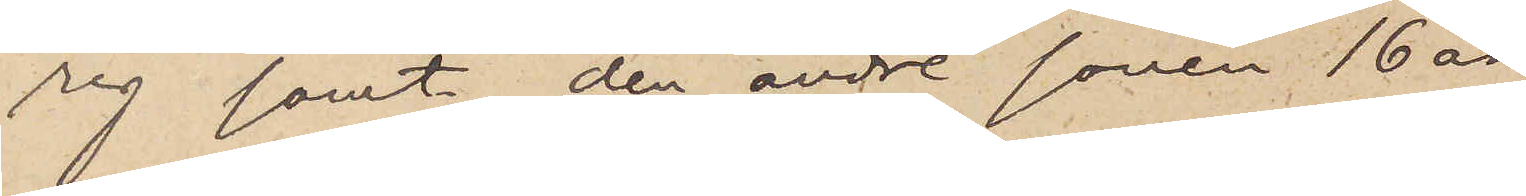rig samt den andre sonen 16 år.
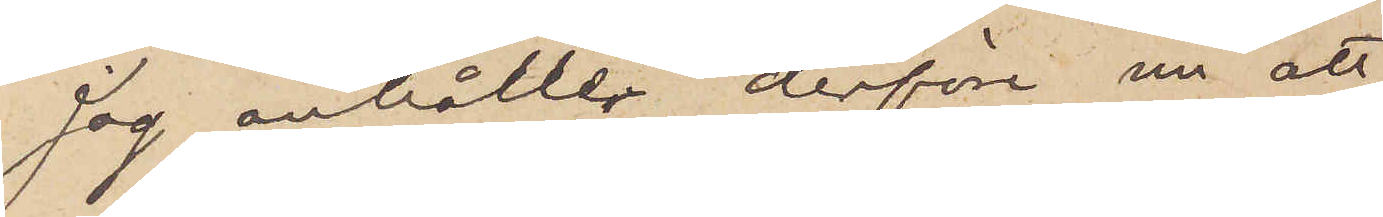Jag anhåller derföre nu att
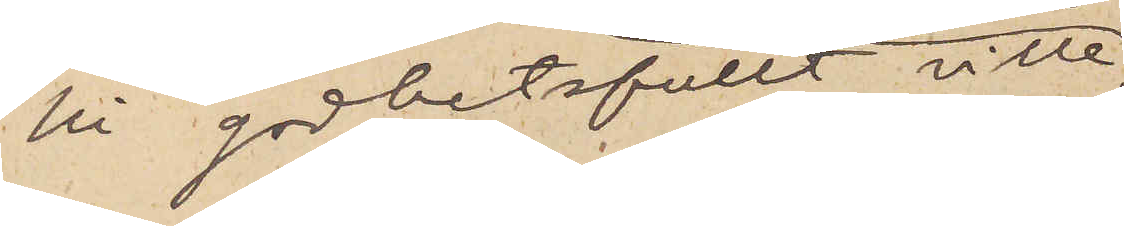Ni godhetsfullt ville,
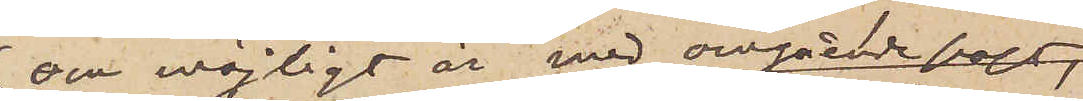om möjligt är med avgående post,
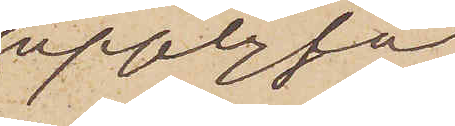upplysa,
